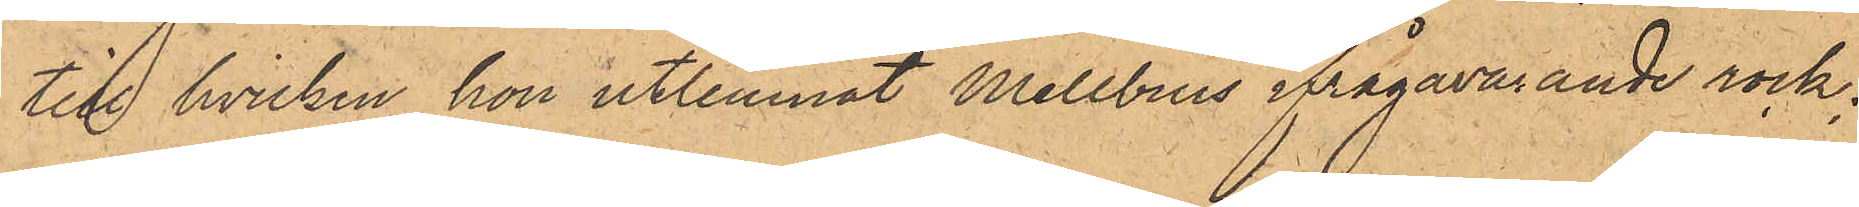till hvilken hon utlemnat Mellbins ifrågavarande rock;
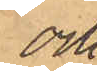och
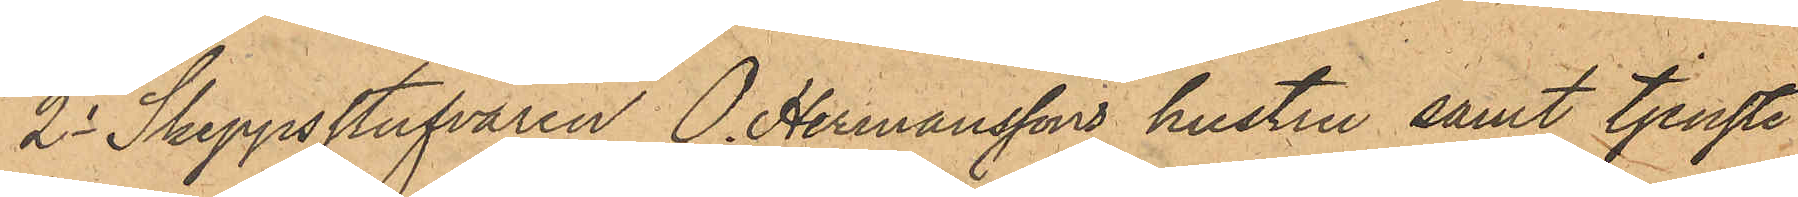2o Skeppsstufvaren O. Hermanssons hustru samt tjenste¬
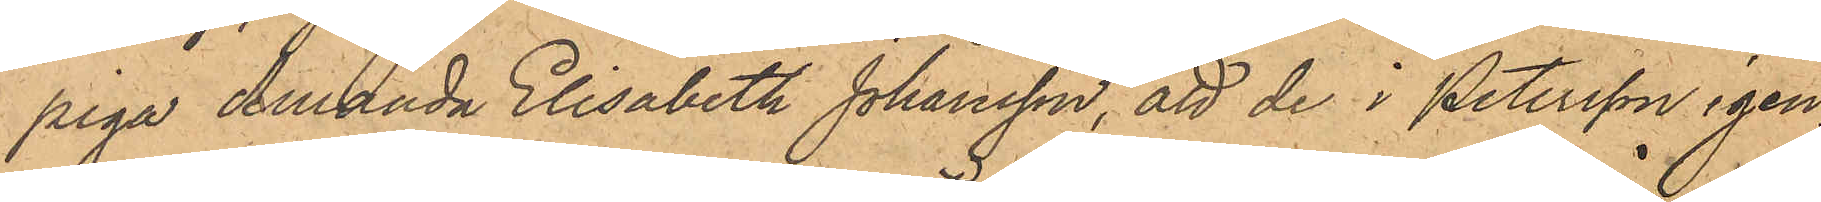piga Amanda Elisabeth Johansson, att de i Petersson igen¬
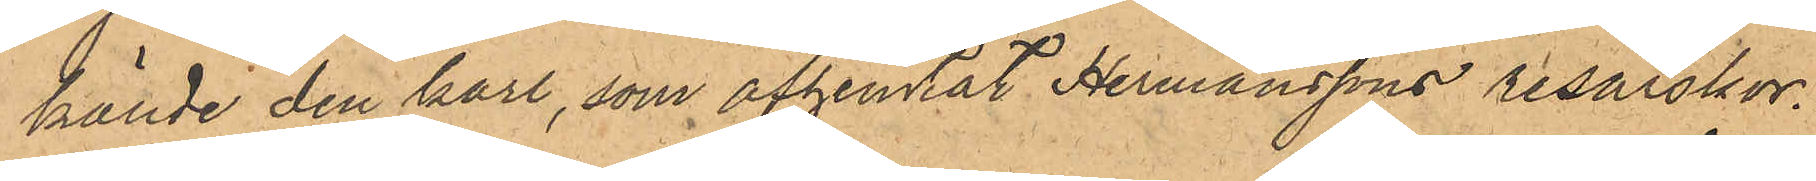kände den karl, som afhemtat Hermanssons resårskor.
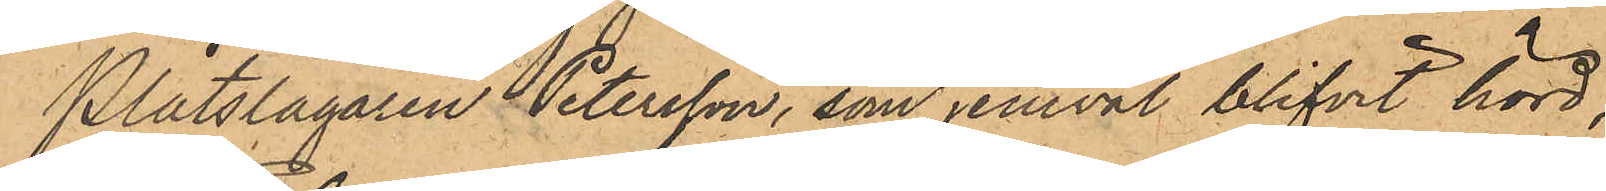Plåtslagaren Petersson, som jemväl blifvit hörd,
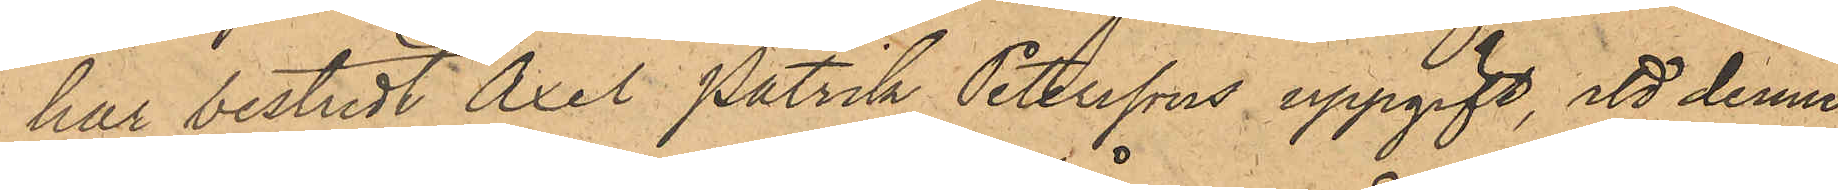har bestridt Axel Patrik Peterssons uppgift, att denne
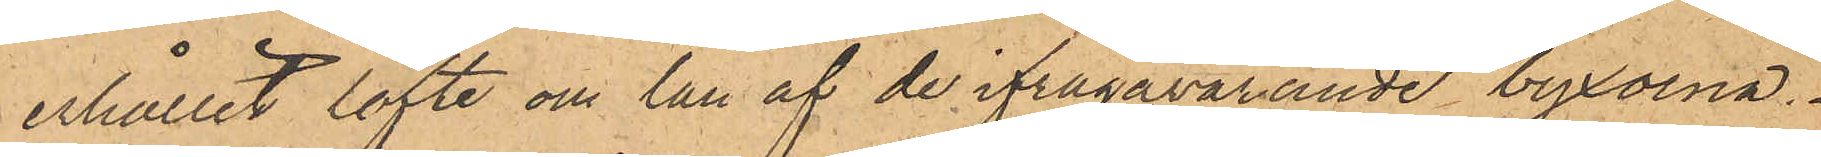erhållit löfte om lån af de ifrågavarande byxorna.
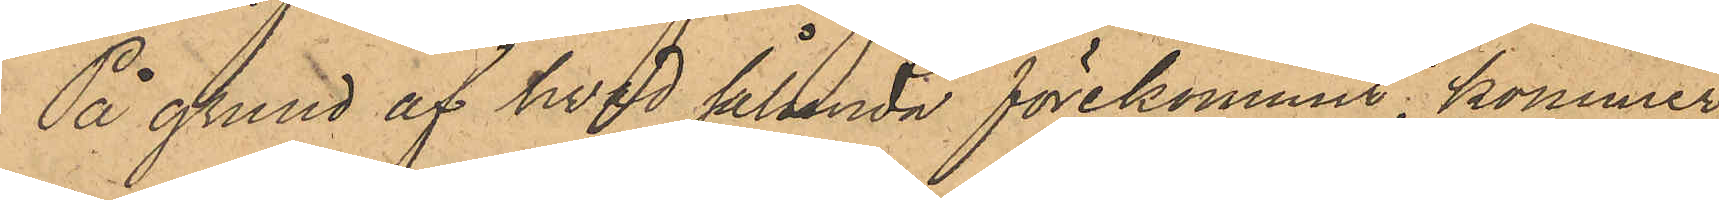På grund af hvad sålunda förekommit, kommer
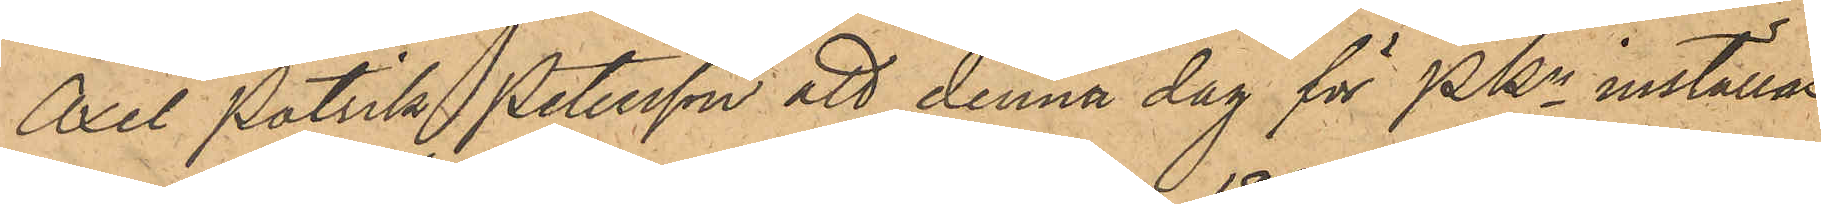Axel Patrik Petersson att denna dag för PKn inställas.
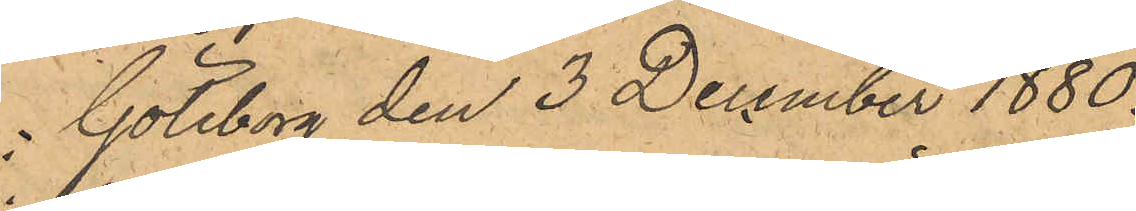Göteborg den 3 December 1880.
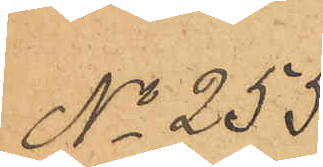No 255.
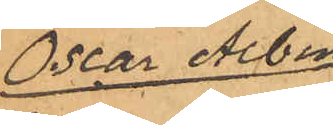Oscar Albin
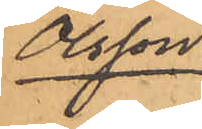Olsson.
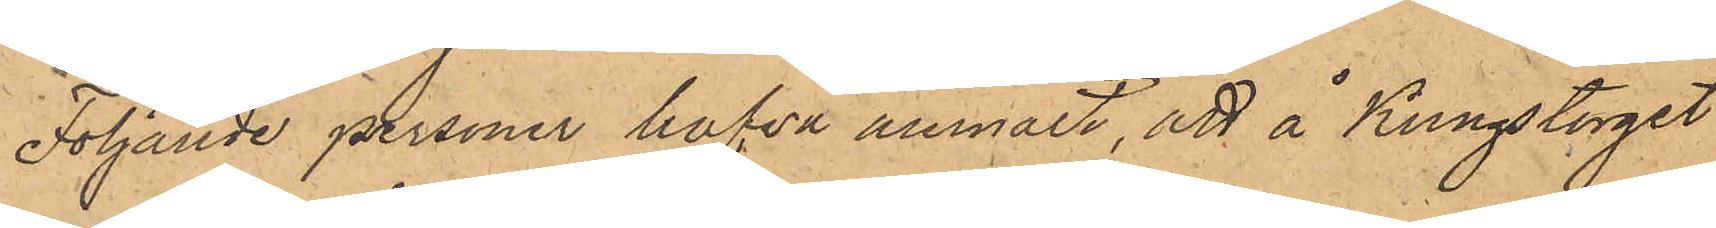Följande personer hafva anmält, att å Kungstorget
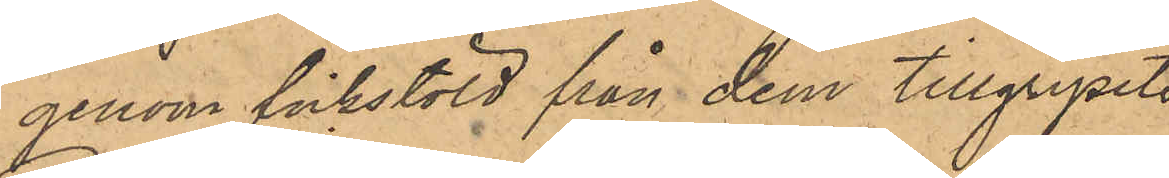genom fickstöld från dem tillgripits
